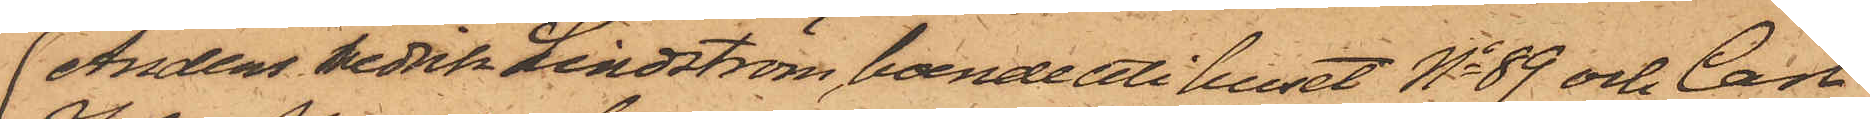Anders Fredrik Lindström, boende uti huset No 89 och Carl
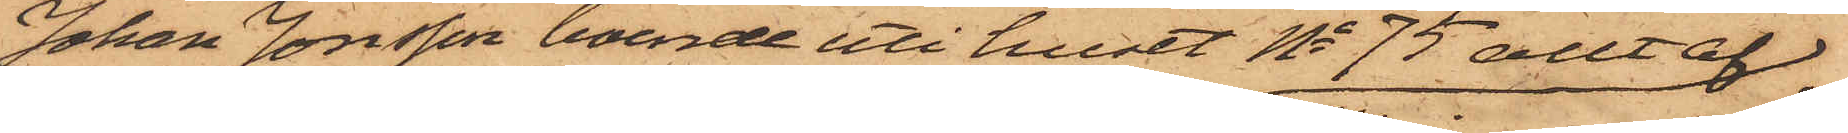Johan Jonsson, boende uti huset No 75 allt af
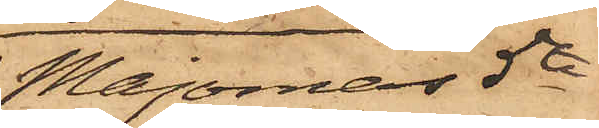Majornas 5te
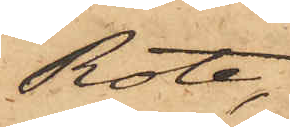Rote,
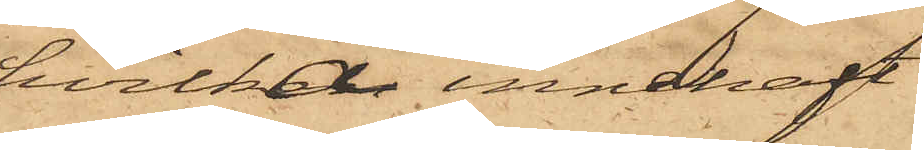hvilka innehaft
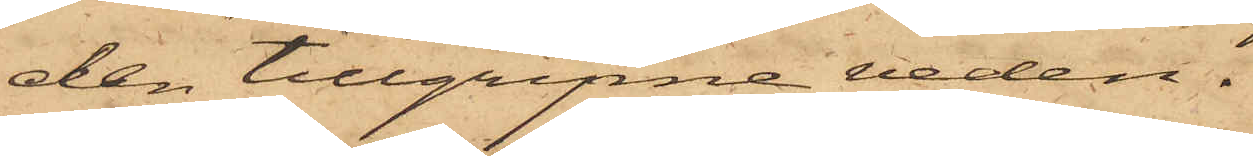den tillgripne veden.
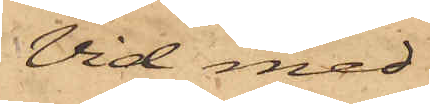Vid med
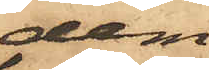dem
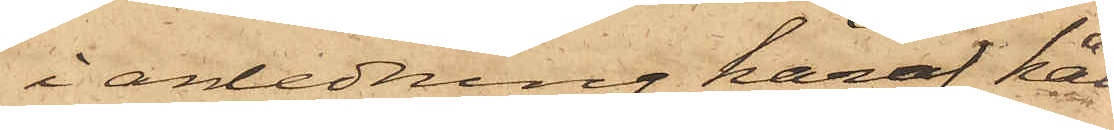i anledning häraf hål¬
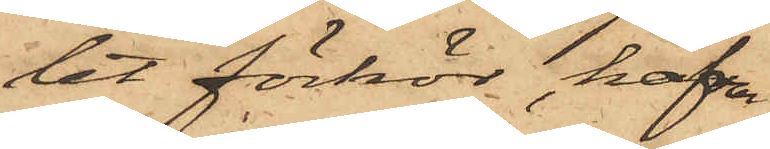let förhör, hafva
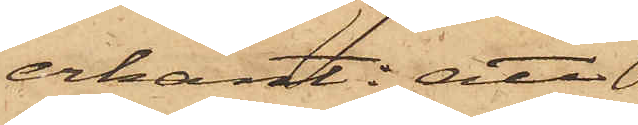erkänt: att
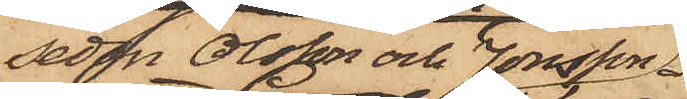sedan Olsson och Jonsson
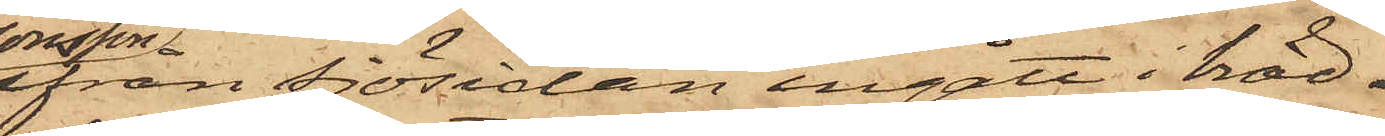ifran sjösidan ingått i bräd¬
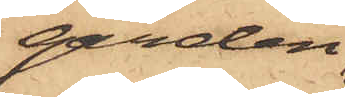gården,
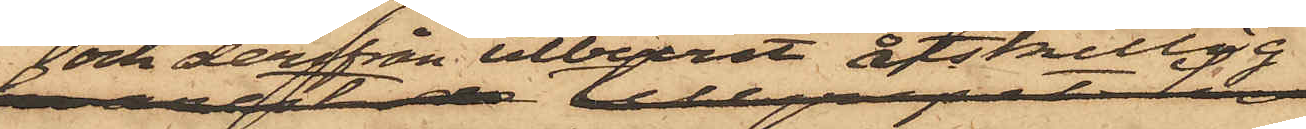och derifrån utburit åtskillig
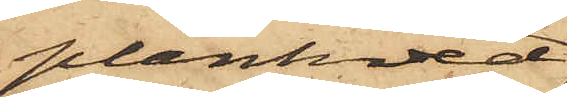plankved,
